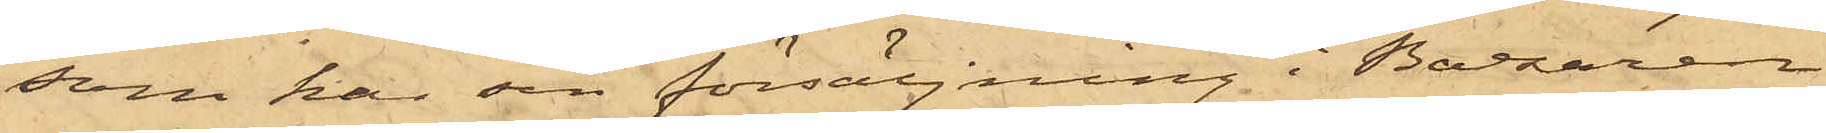som har sin försäljning i Bazaren
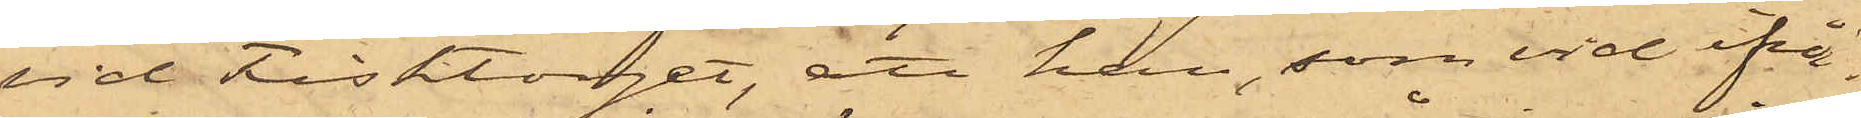vid Fisktorget, att han, som vid ifrå¬
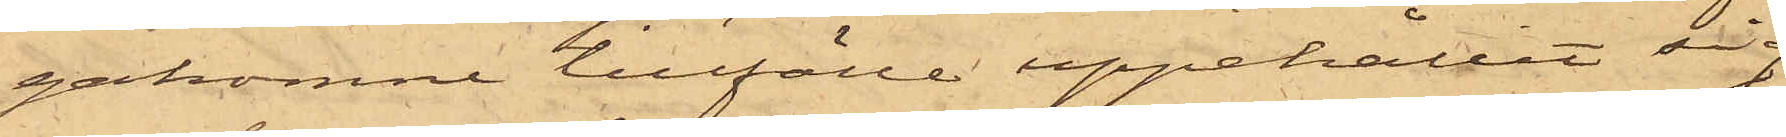gakomne tillfälle uppehållit sig
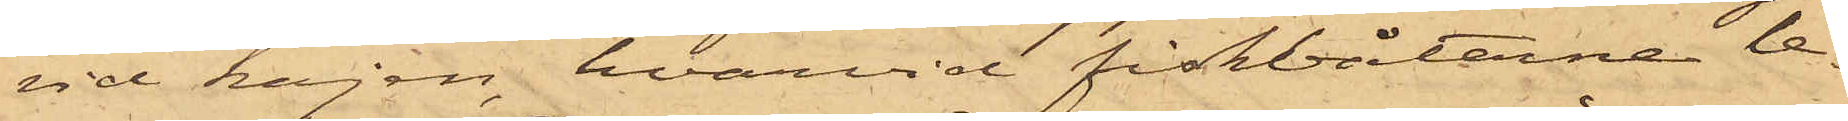vid kajen, hvarvid fiskbåtarne le¬
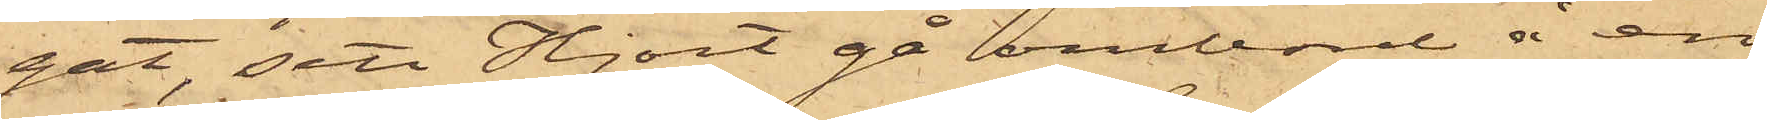gat, sett Hjort gå ombord å en
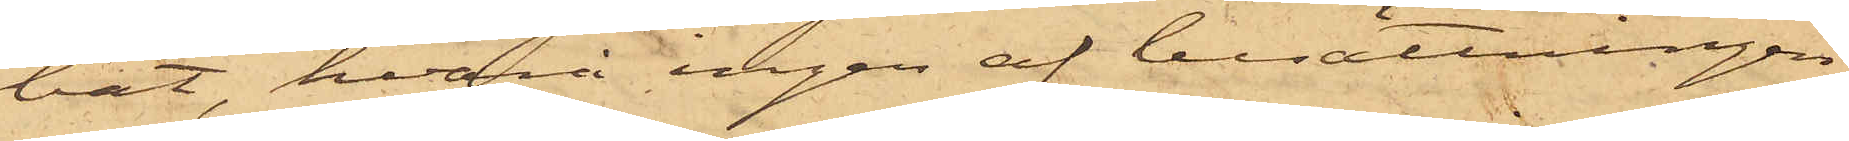båt, hvari ingen af besättningen
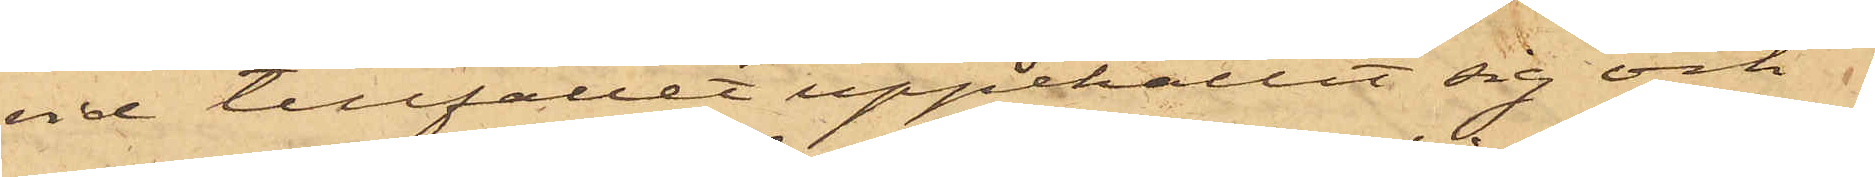vid tillfället uppehållit sig och
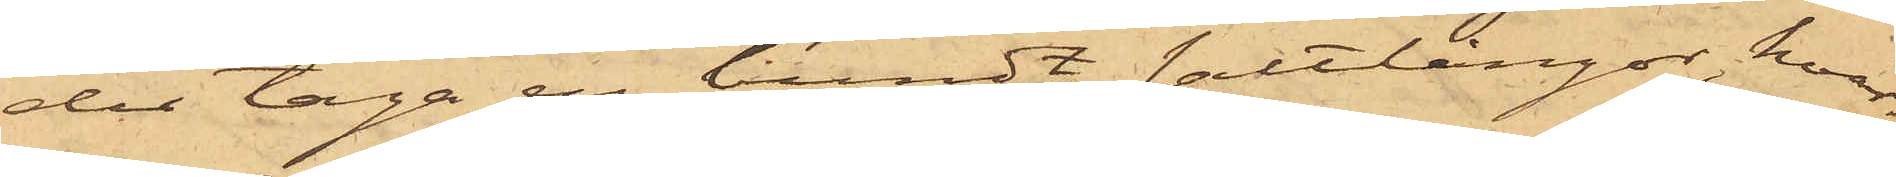der taga en bundt saltlångor, hvar¬
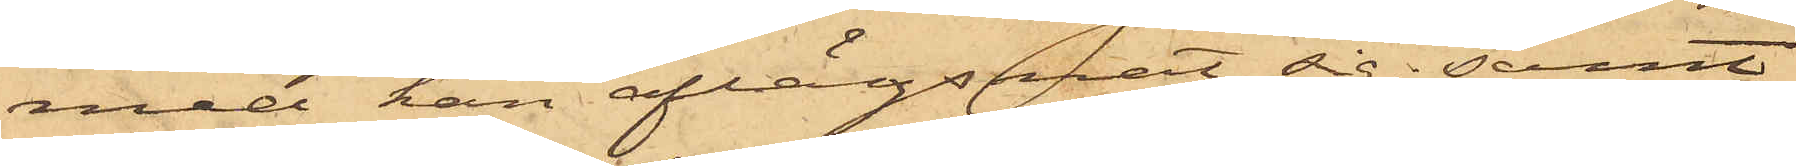med han aflägsnat sig; samt
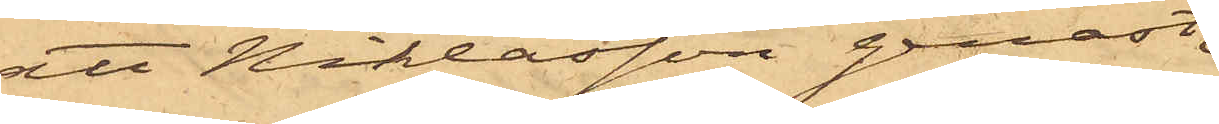att Niklasson genast
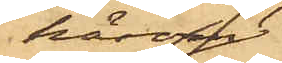härom
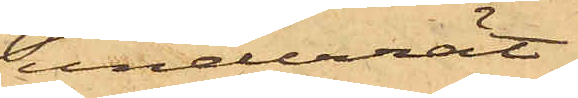underrät¬
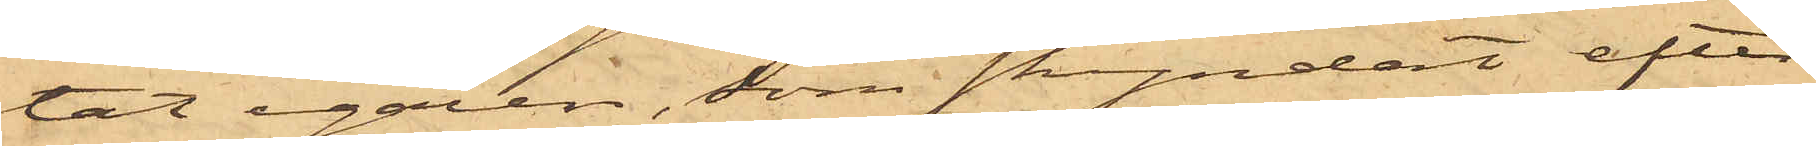tat egaren, som skyndat efter
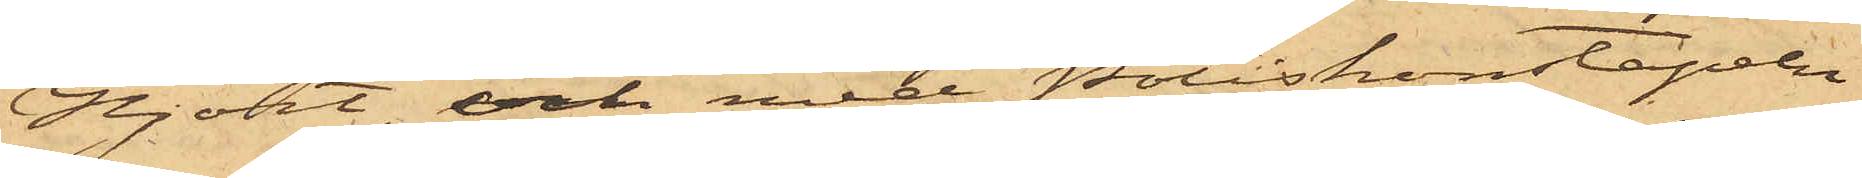Hjort, och med Poliskonstapeln
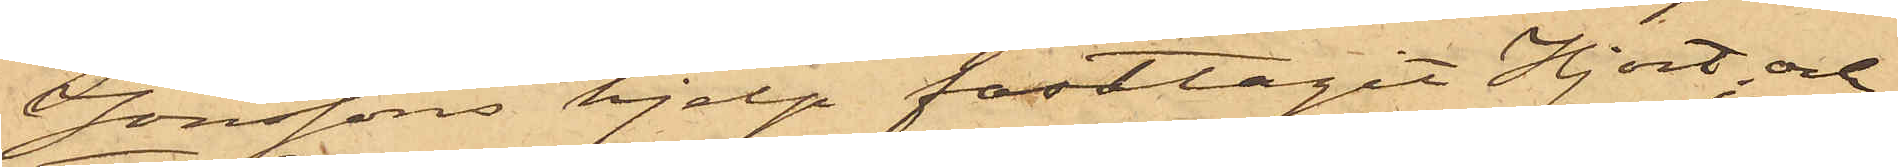Jonssons hjelp fasttagit Hjort; och
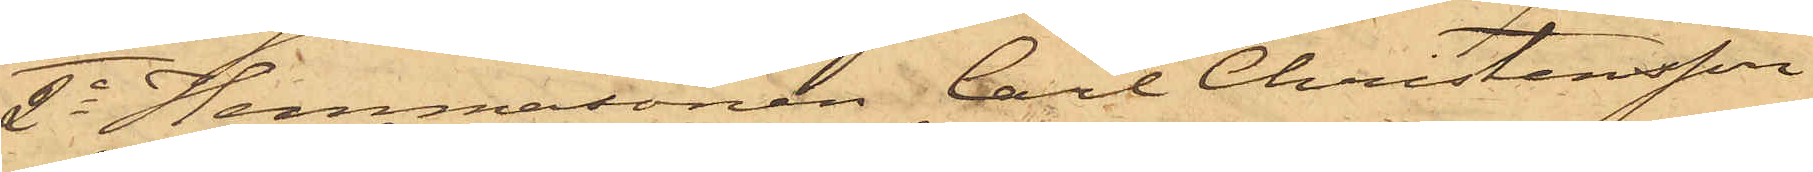2o Hemmasonen Carl Christensson
